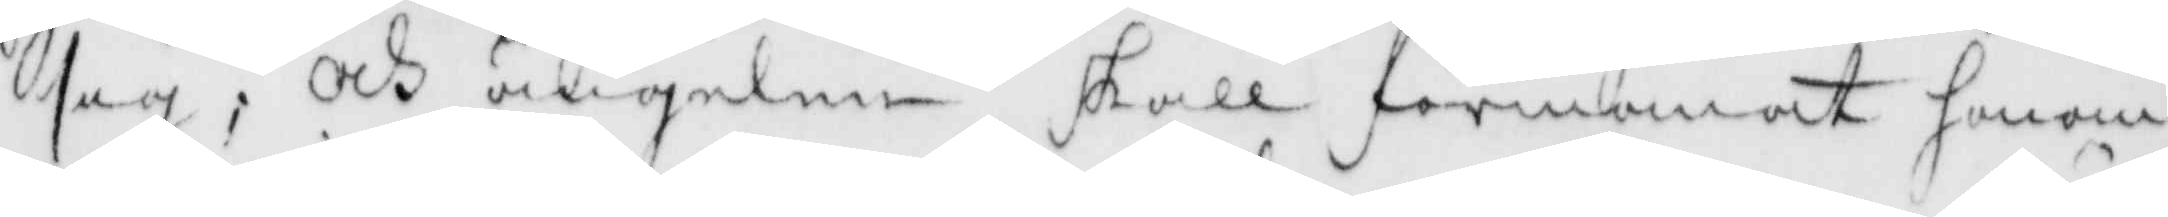sig; Och ängelen skall förmanat honom
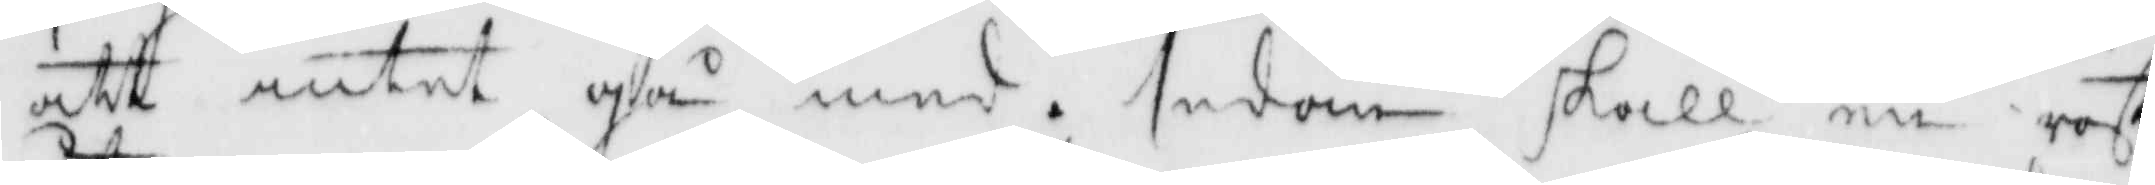att intet gå med. sedan skall en röst
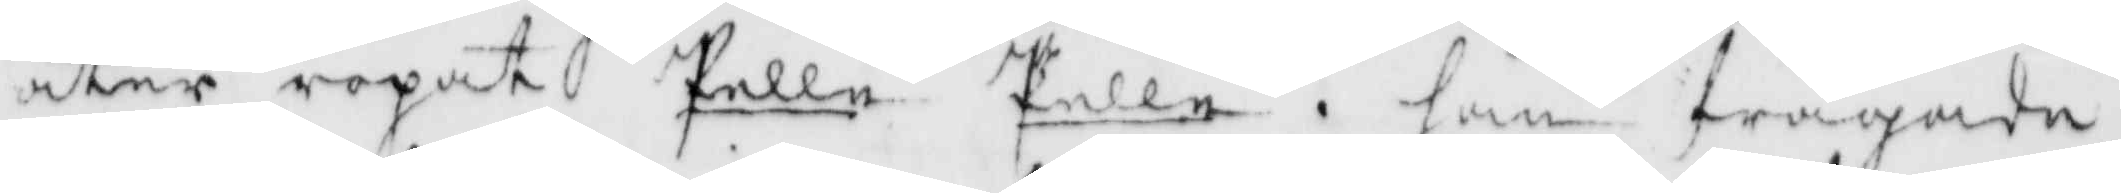åter ropat Pelle Pelle, han frågade
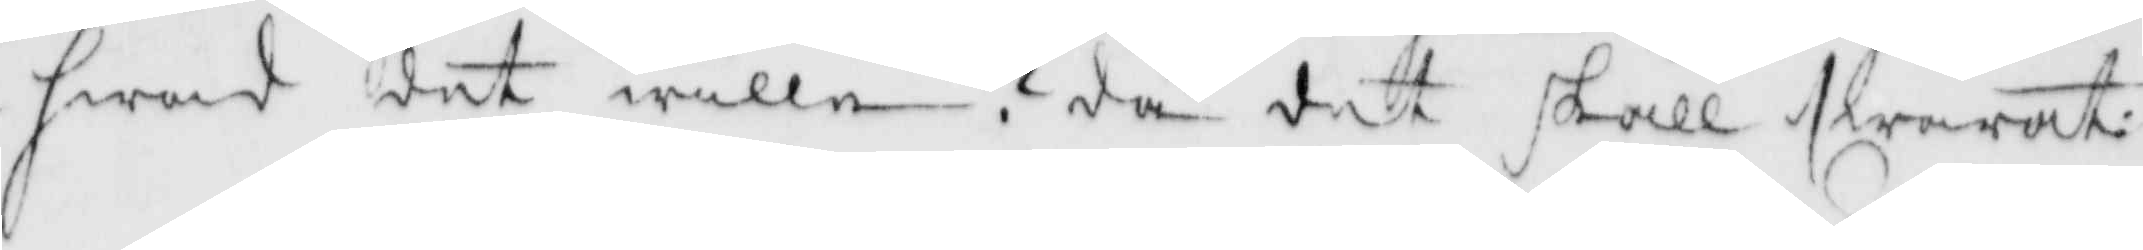hwad det wille? då det skall swarat
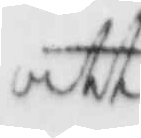att
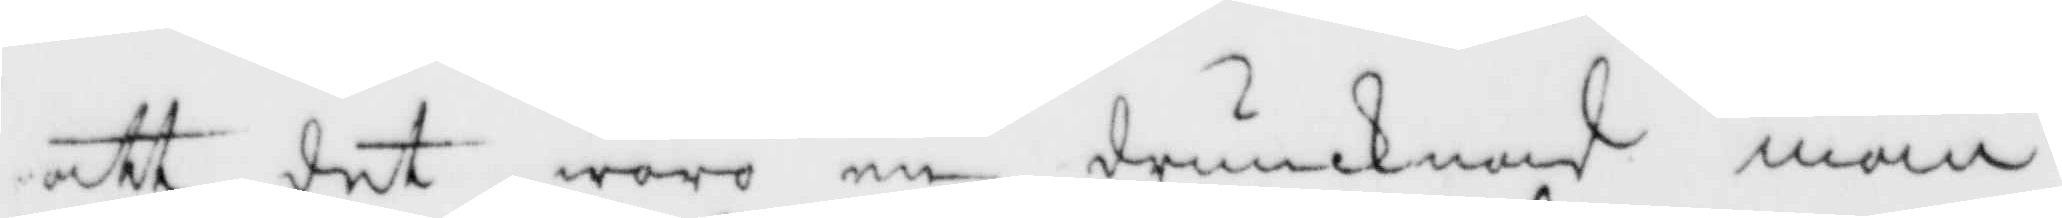att det woro en drunknad man
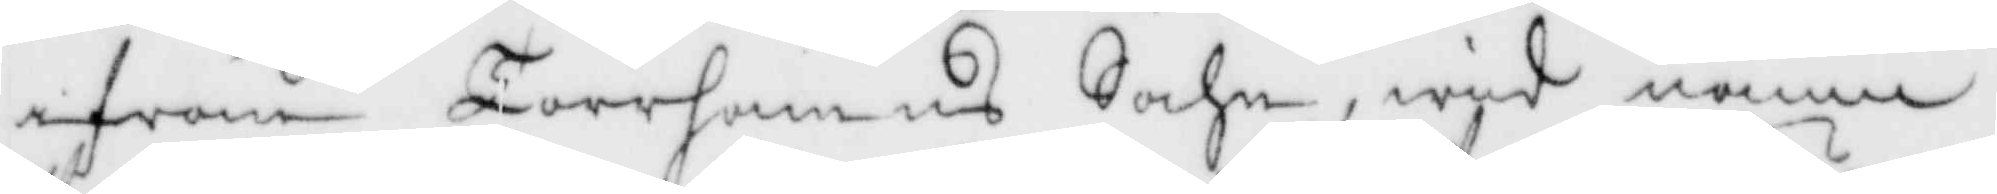ifrån Torrhamns Sochn, wid namn
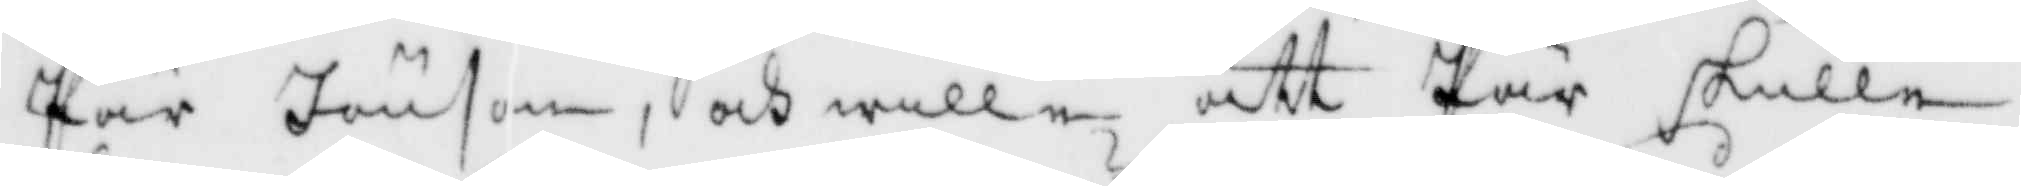Pär Jönson, och wille att Pär skulle
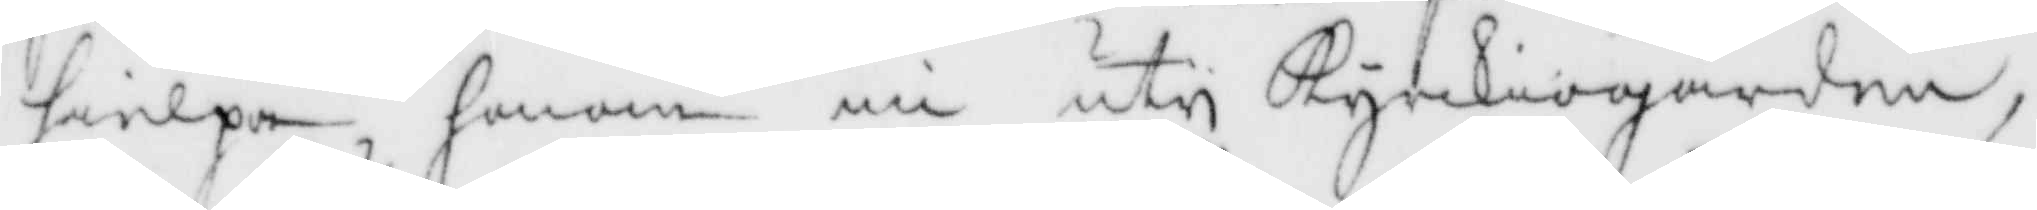hielpa honom nu uty Kyrckiogården,
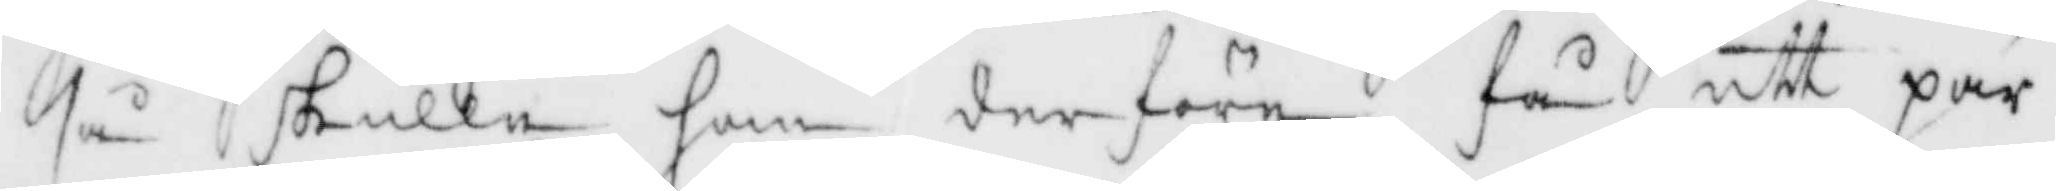så skulle han derföra få ett par
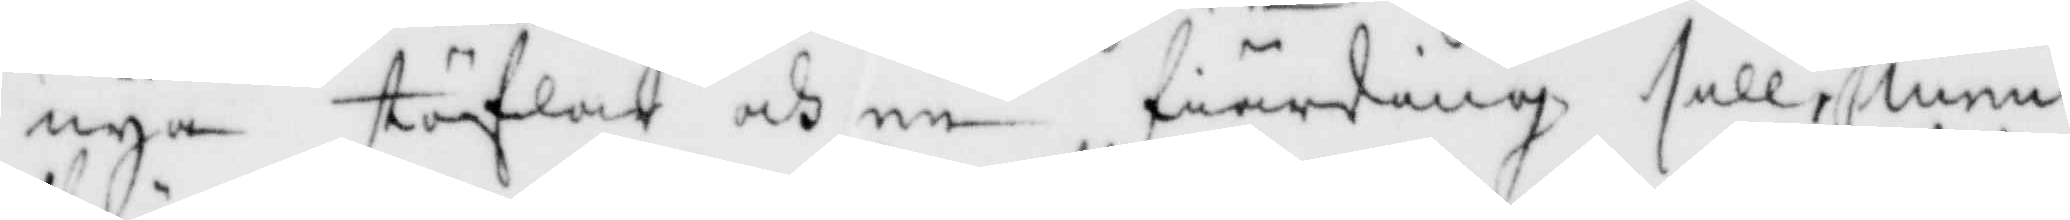nya stöflar och en fiärding sill, men
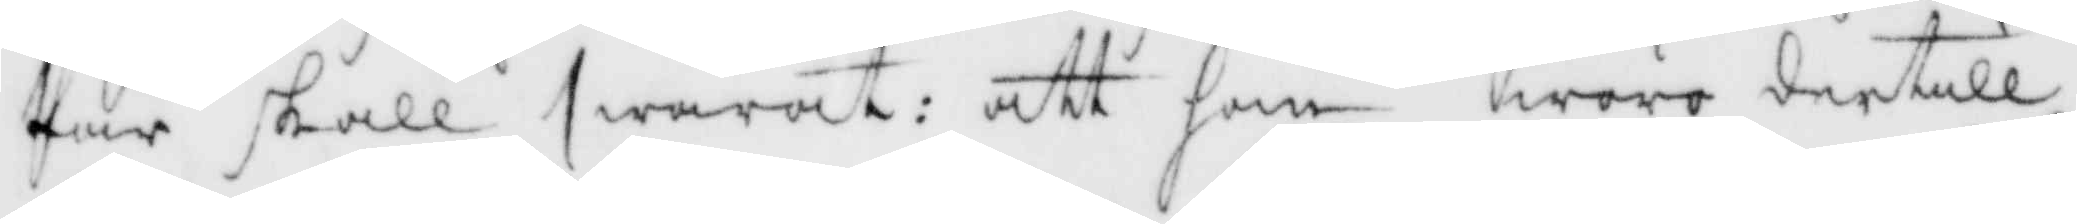Pär skall swarat: att han woro dertill
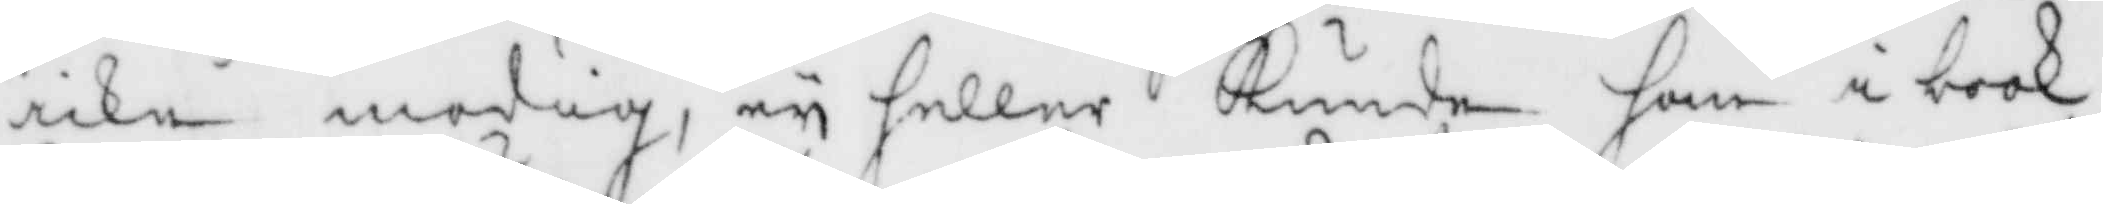icke modig, ey heller Kunde han i book
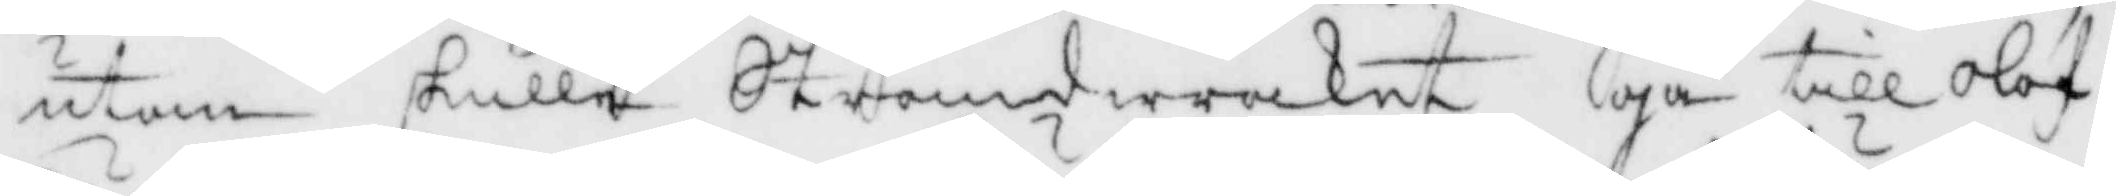utan skulle Strandwraket gå till Olof
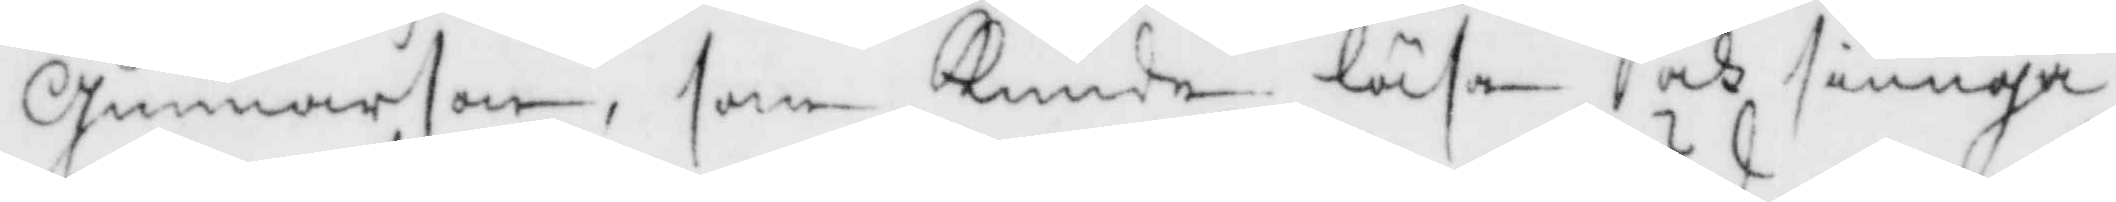Gunnarson, som Kunde läsa och siunga
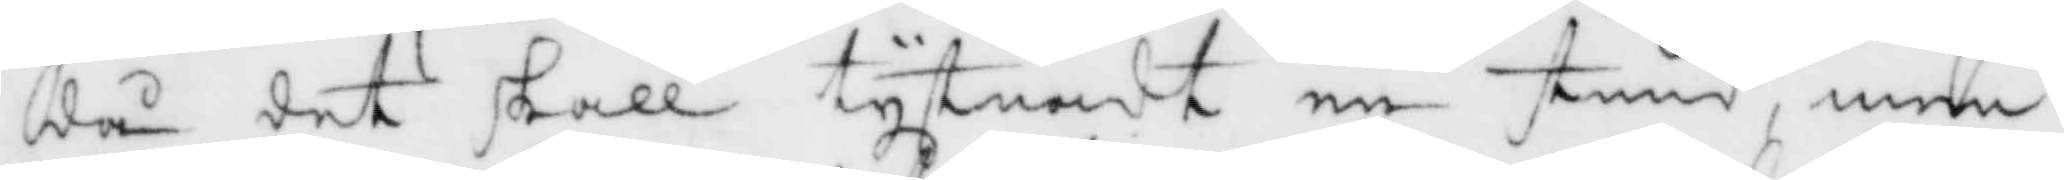då det skall tystnadt en stund, men
